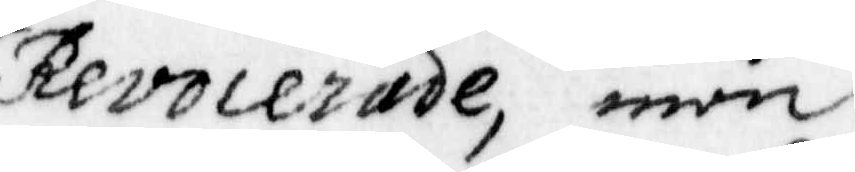Revocerade, män
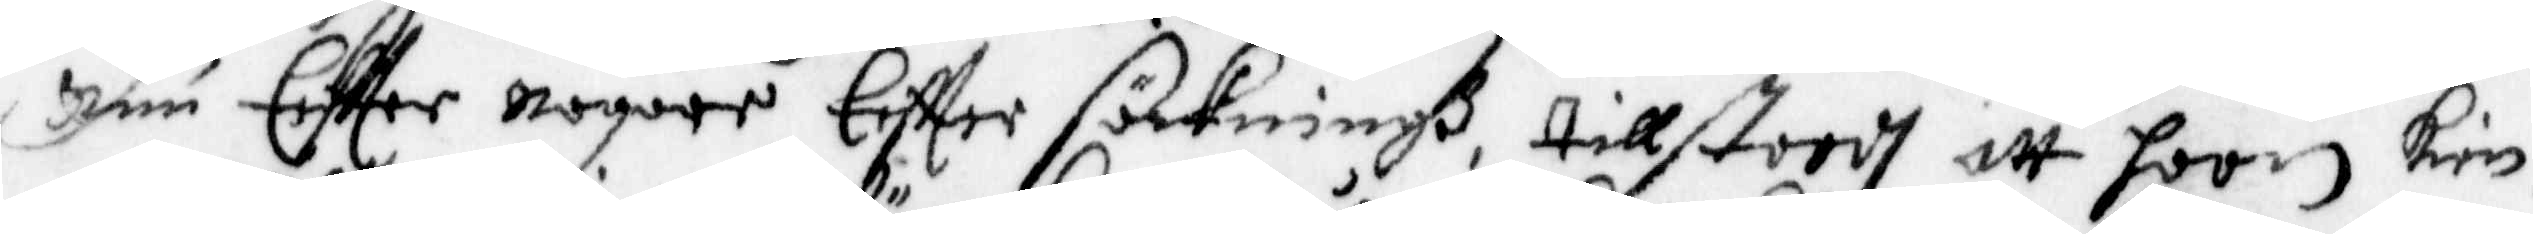Nuu Eeftter nogare Eftter sökningh, tillstodh att hoon kien¬
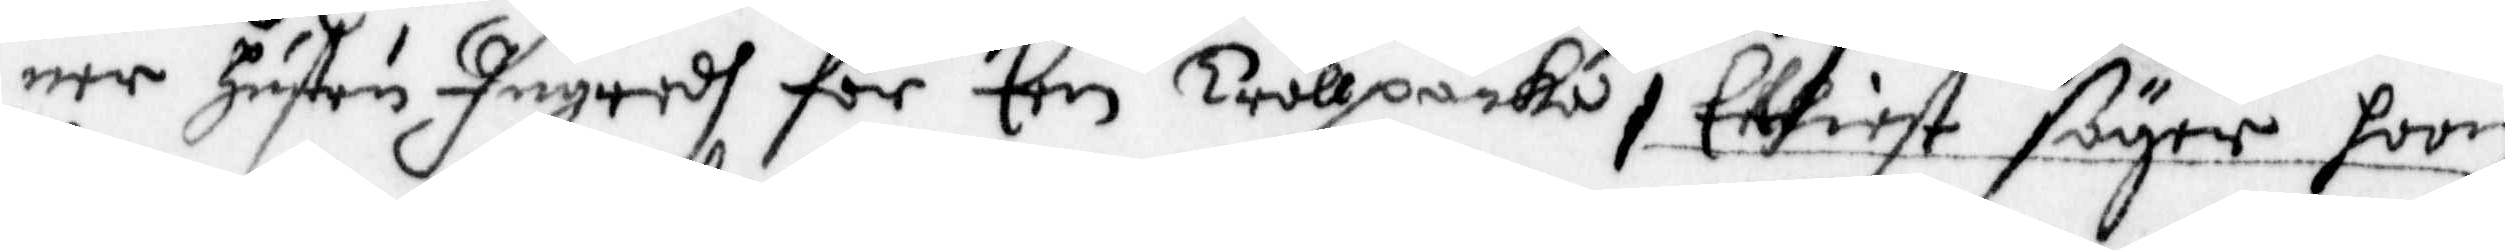ner hustru Ingredh för Een trållpacka, Elliest säger hoon
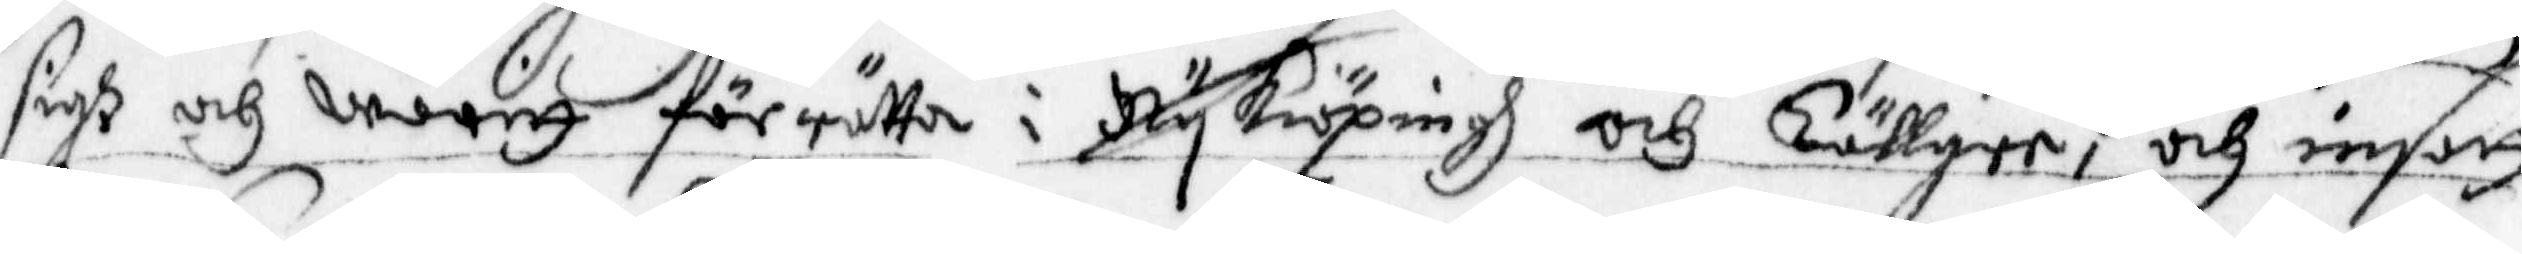sigh och waritt för rätta i Nykiöpingh och Tällgee, och insatt
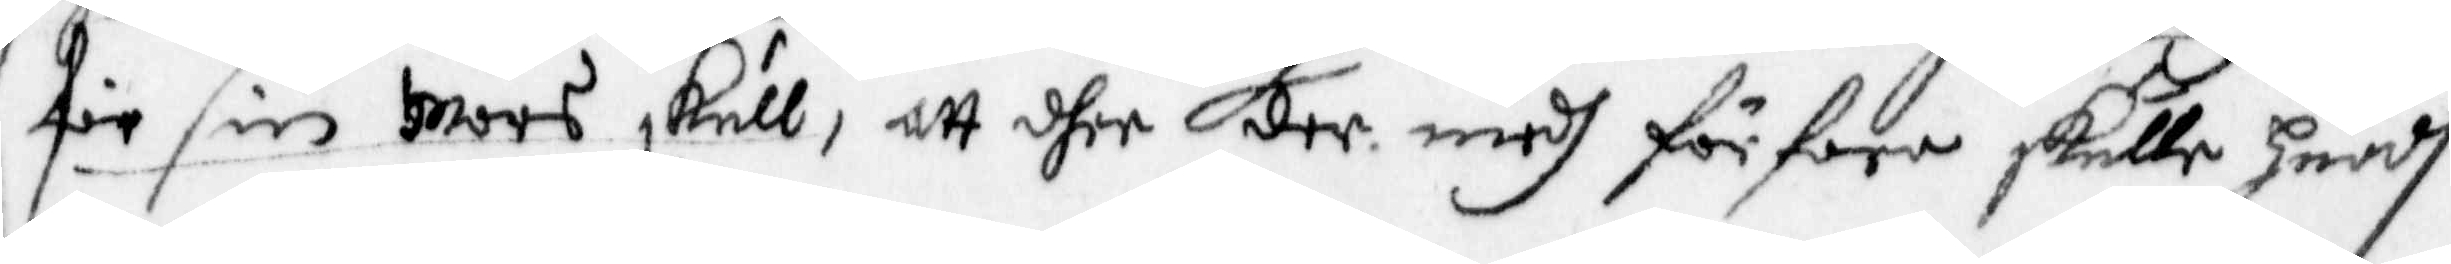för sin Mors skull, att dher dee medh förfara skulle huadh
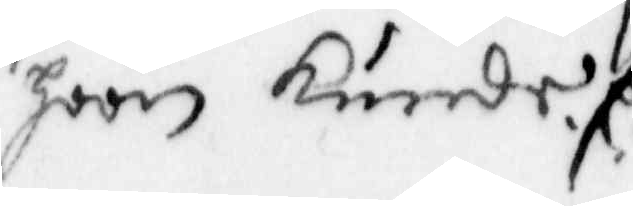hoon kunde./:
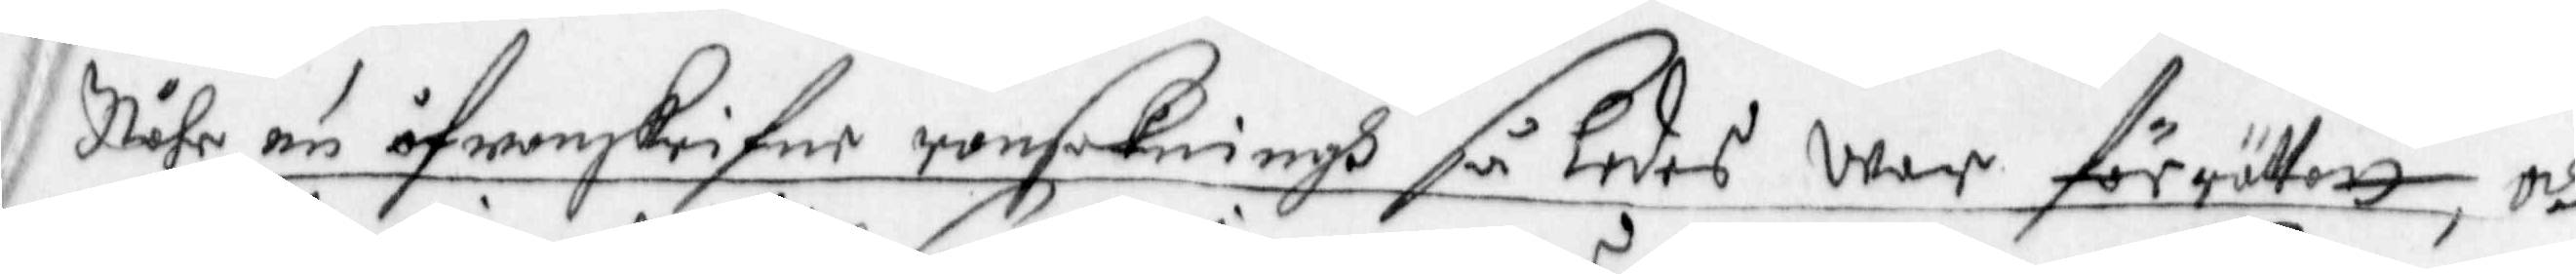Nähr en åfwanskrifne ransakningh så ledes War förrättatt, och
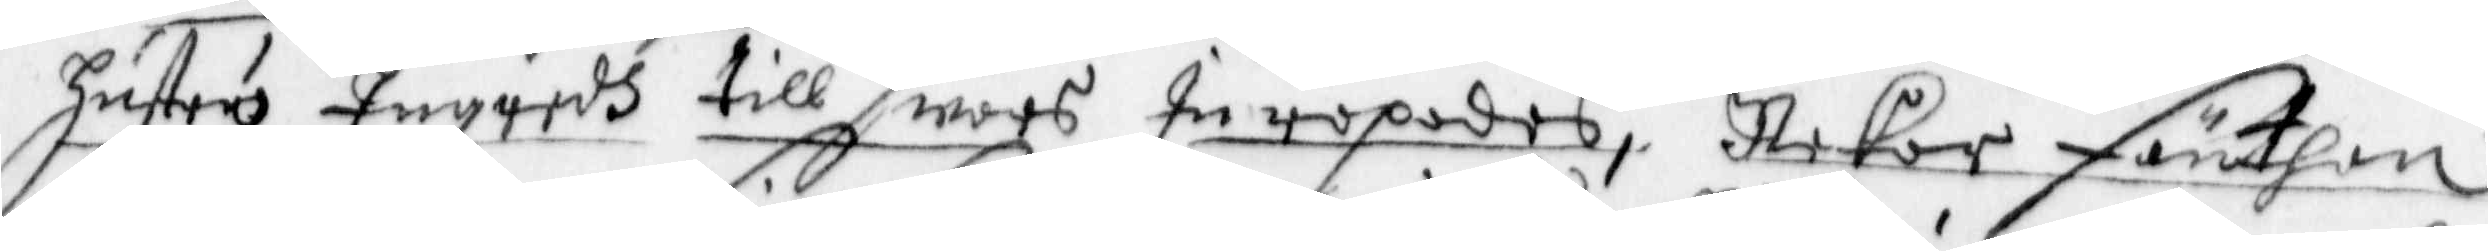hustru Ingredh till swars Inropades, Nekar Fänthan
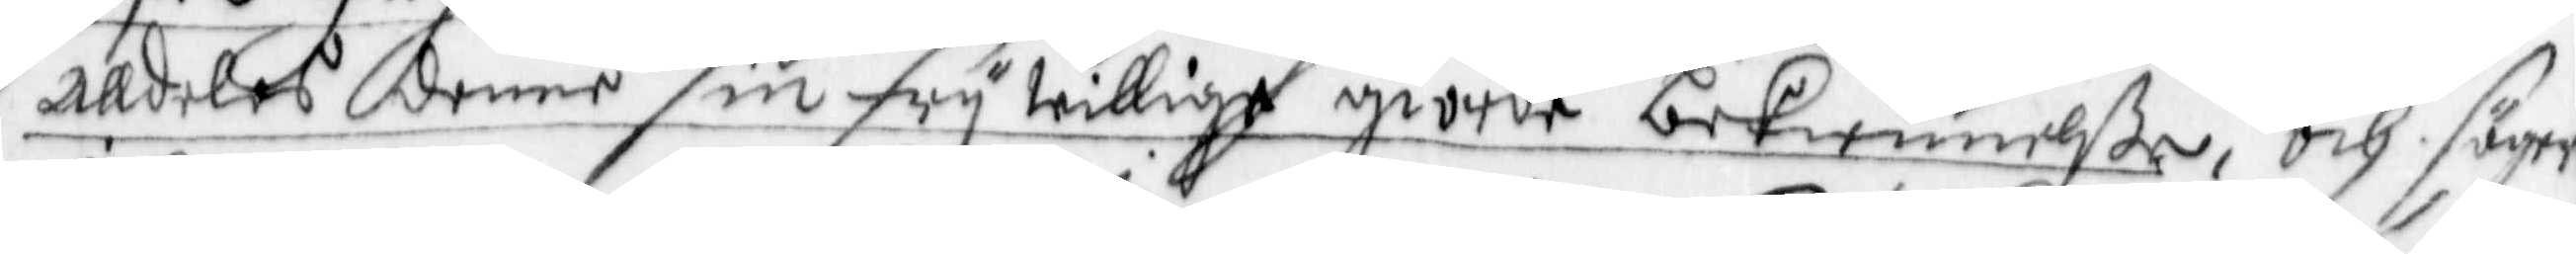alldeles denne sin fry willige giorde bekiennelße, och säger
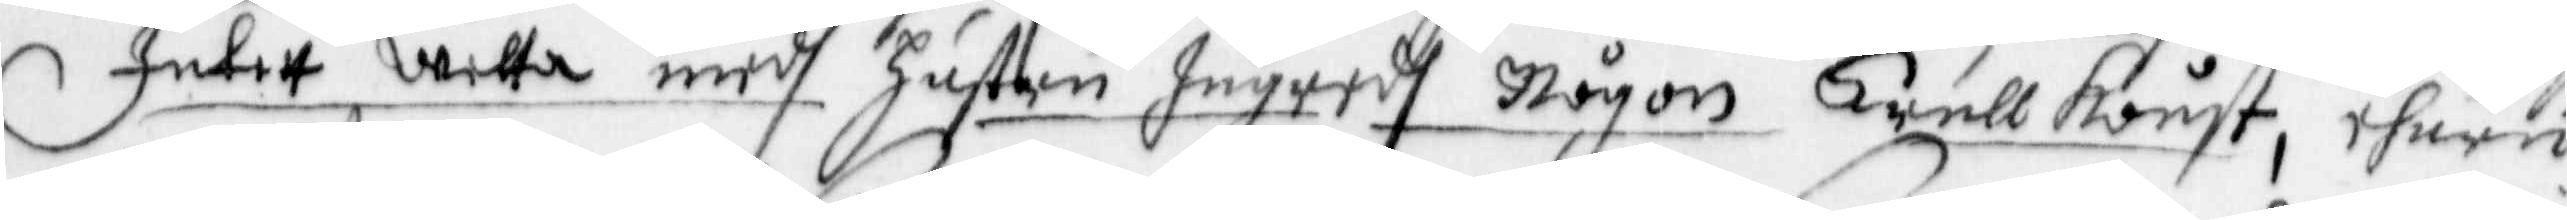Intet wetta medh Hustru Ingredh Någon Trullkonst, ehuru
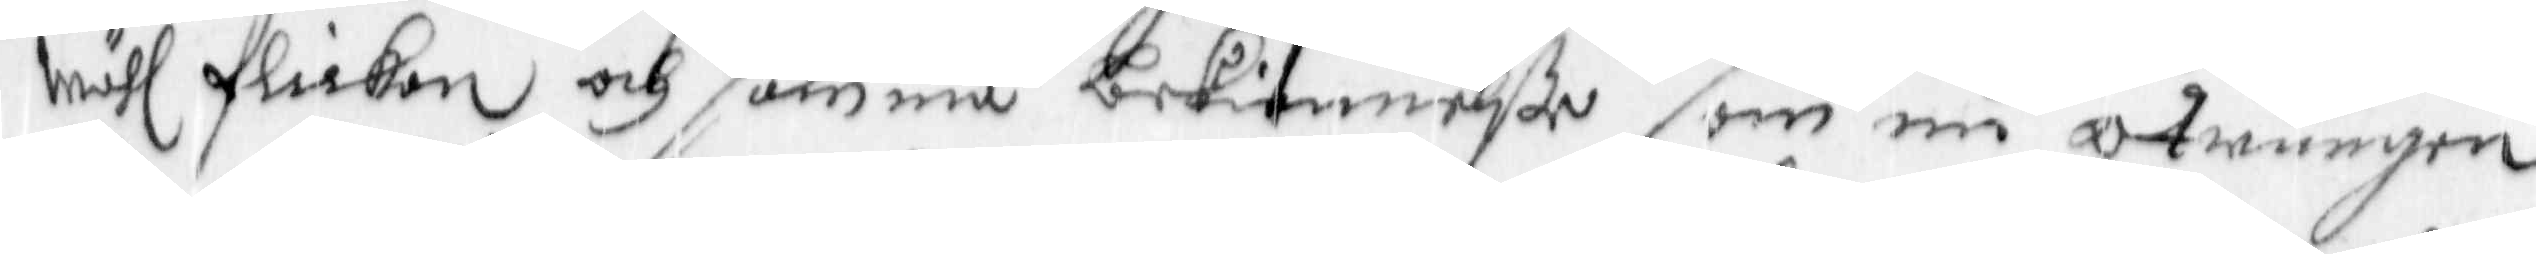wähl flickan och samma bekiennelße, som nu otwungen
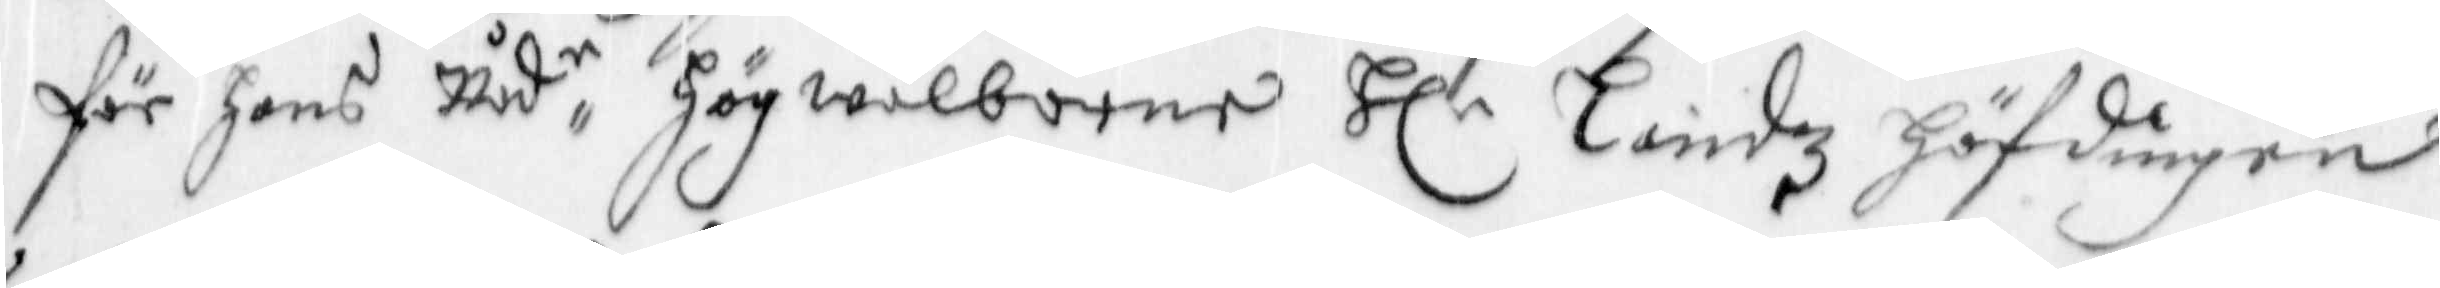för hans Nåde, Högwälborne Hl.r Landz höfdingen
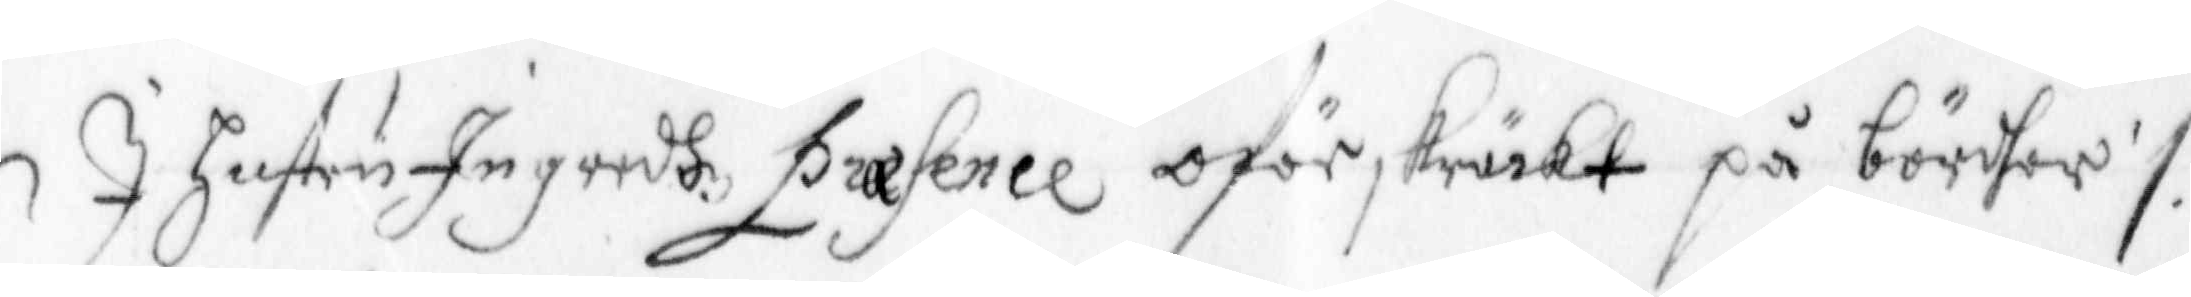I hustru Ingredh Præsence oförskräckt på börder /.
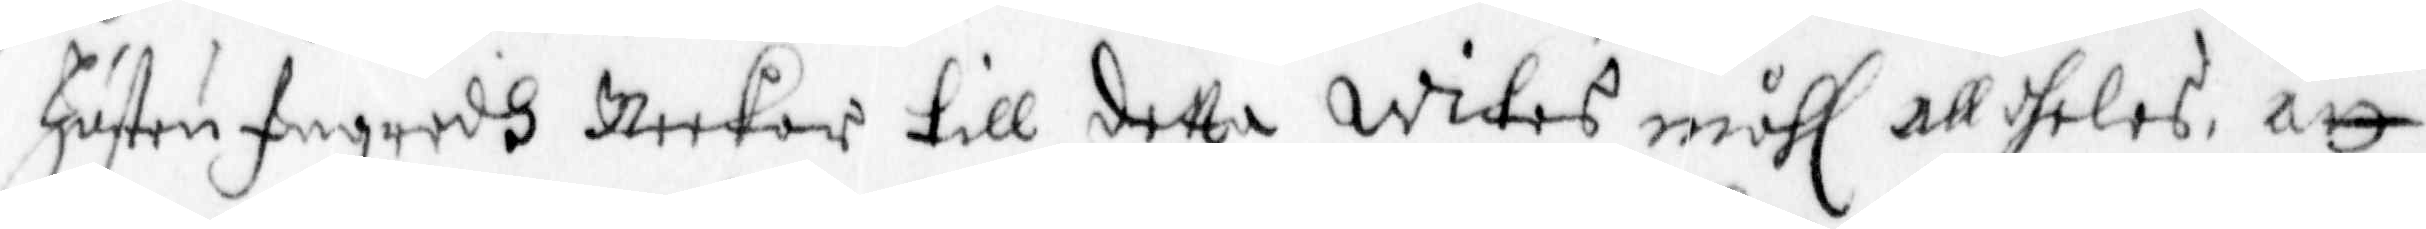Hustru Ingredh Neekar till detta wites måhl alldeles, att
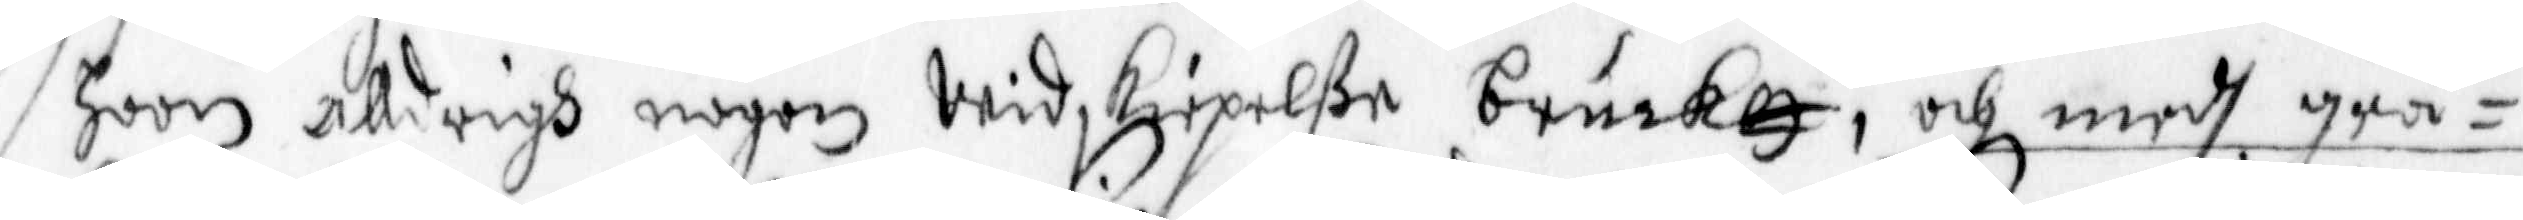hoon alldrigh nogon Widskepelße brukatt, och medh grå¬
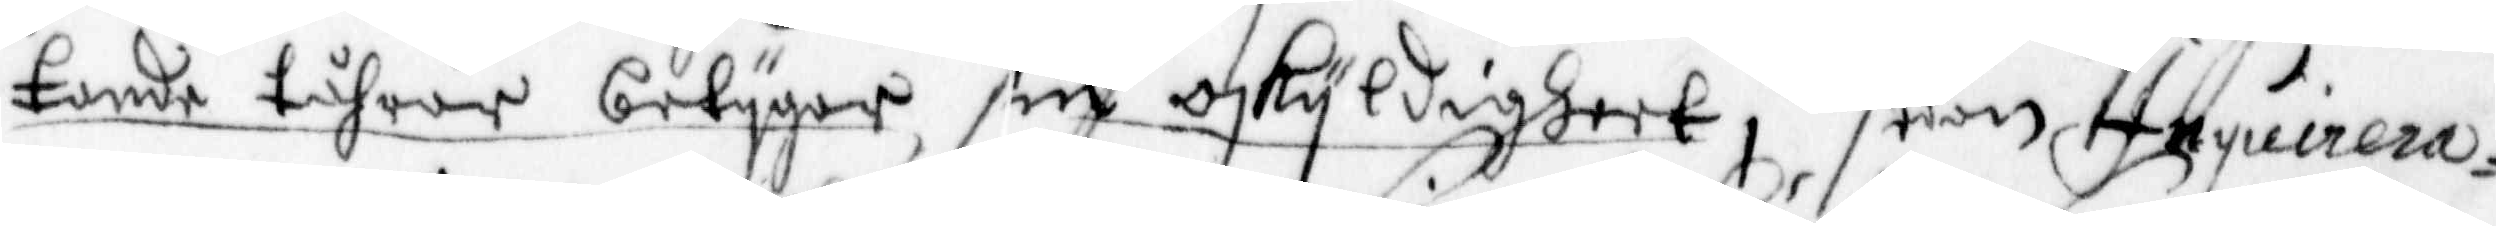tande tåhrar betygar sin oskyldigheet, Hoon Inquirera¬
